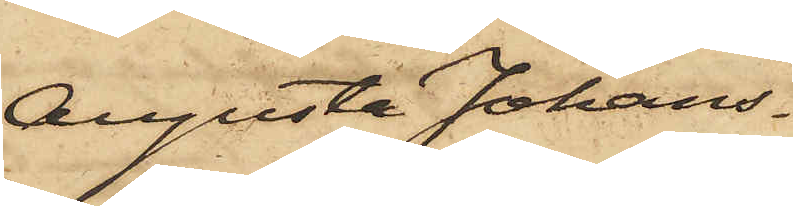Augusta Johans¬
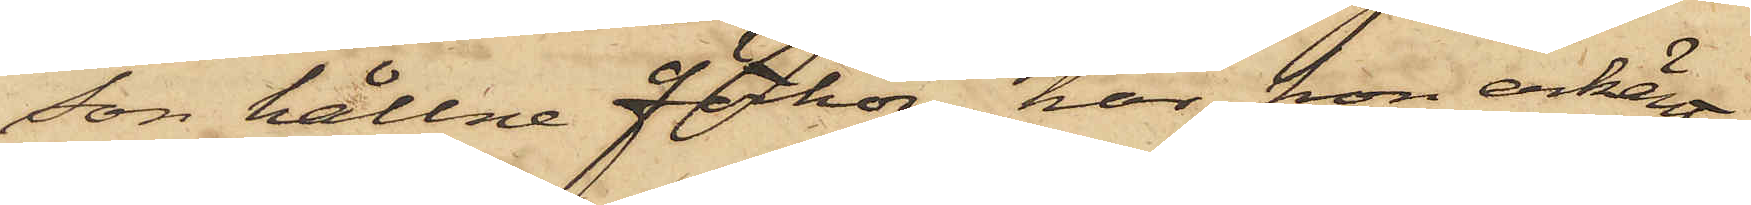son hållne förhör, har hon erkänt
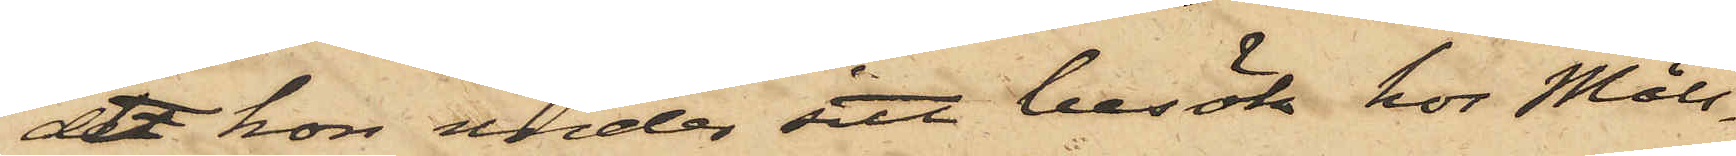att hon under sitt besök hos Måls¬
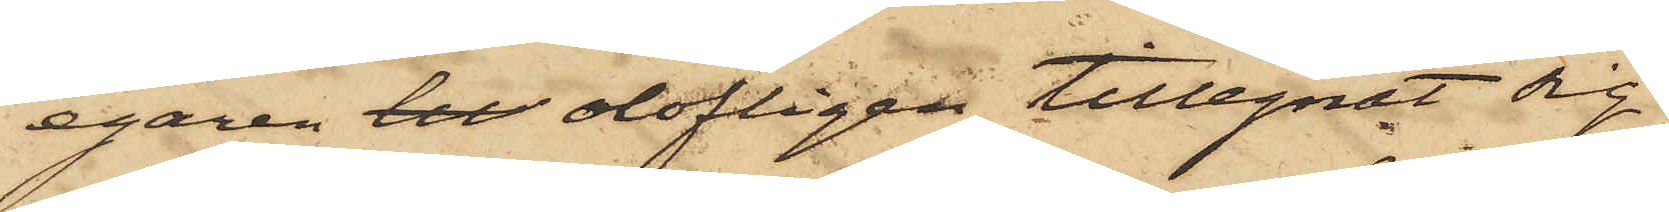egaren til olofligen tillegnat sig
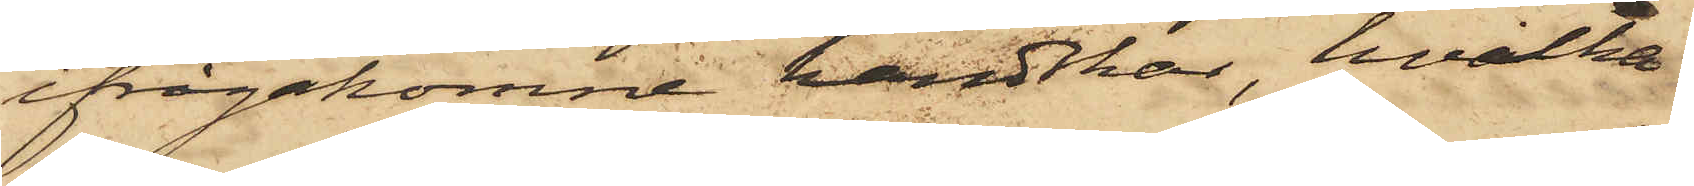ifrågakomne handskar, hvilka
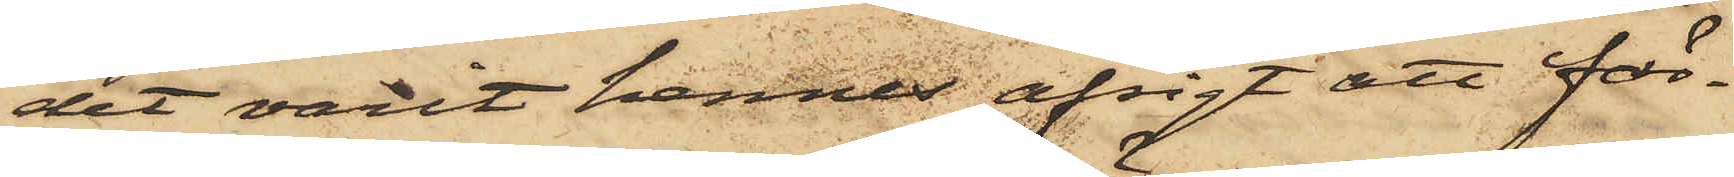det varit hennes afsigt att fär¬
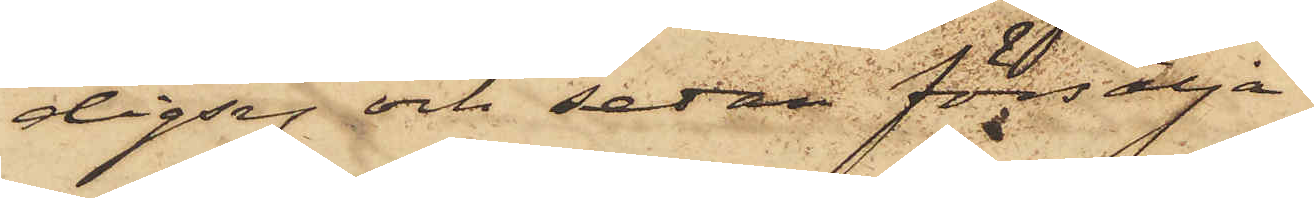digsy och sedan försälja.
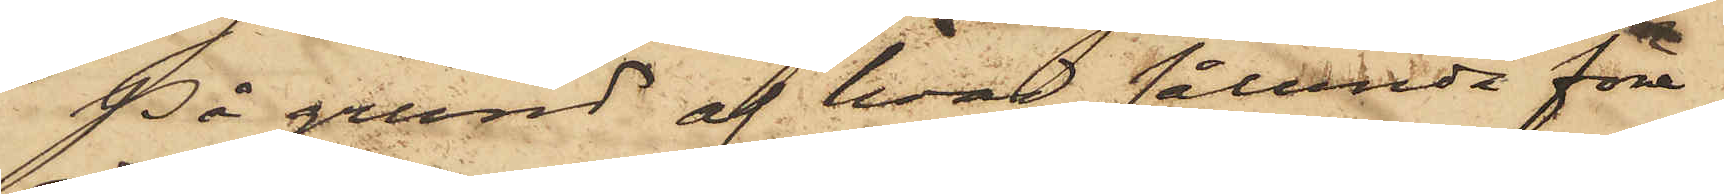På grund af hvad sålunda före¬
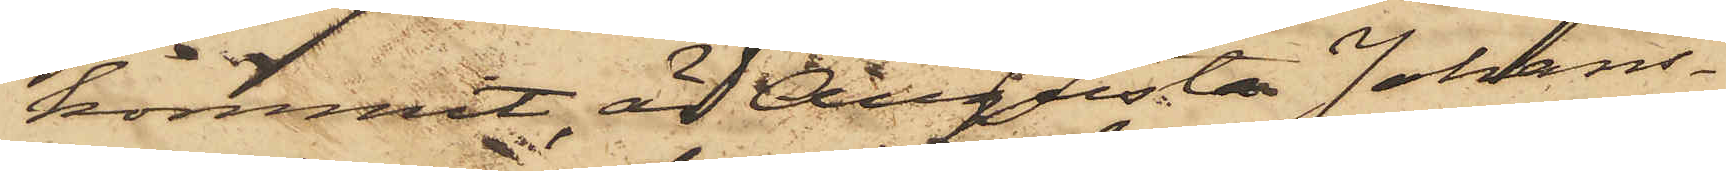kommit, är Augusta Johans¬
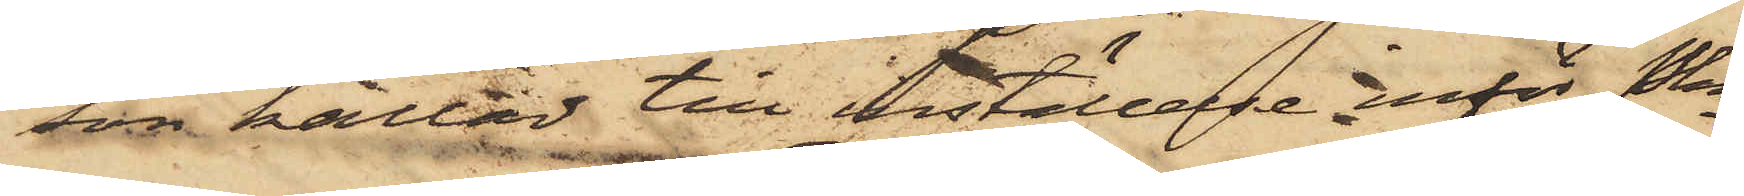son kallad till inställelse inför Pkn
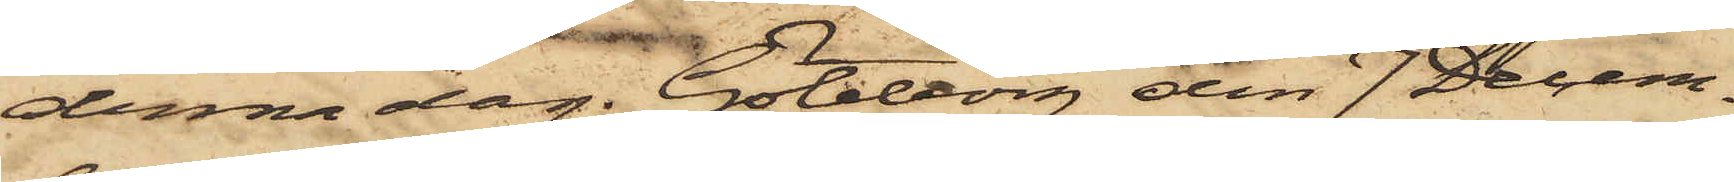denna dag. Göteborg den 7 Decem¬
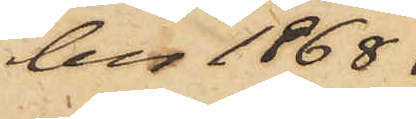ber 1868.
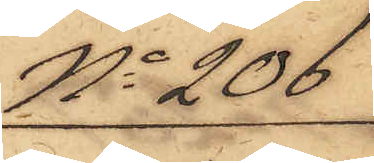No 206
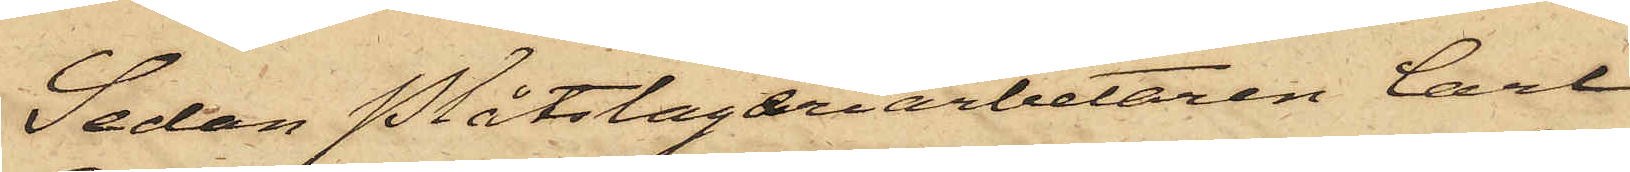Sedan Plåtslageriarbetaren Carl
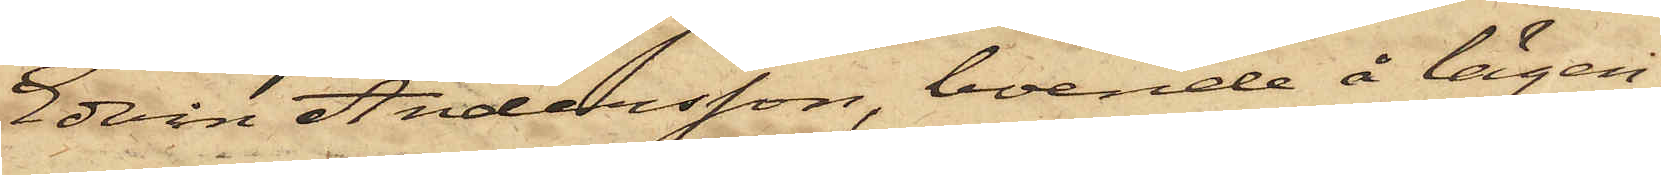Edvin Andersson, boende å lägen¬
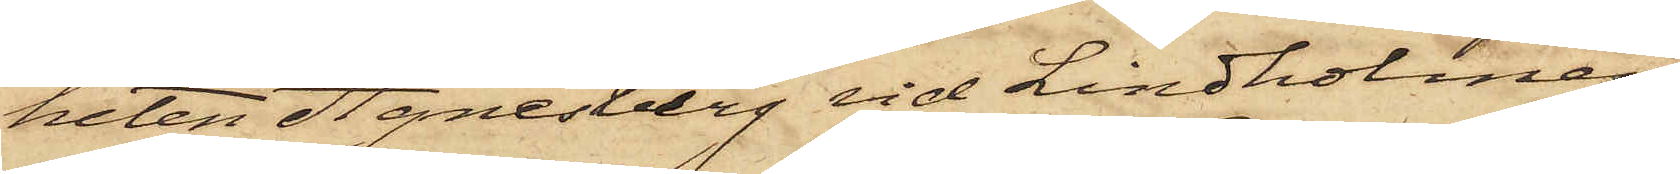heten Agnesberg vid Lindholmen
